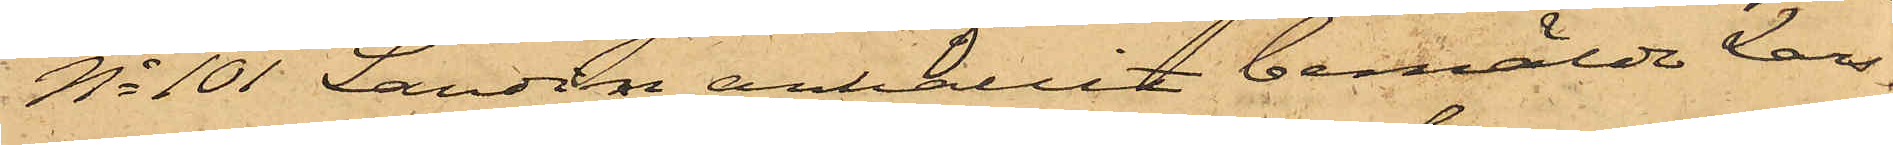No 101 Landin anhållit bemälde Lars¬
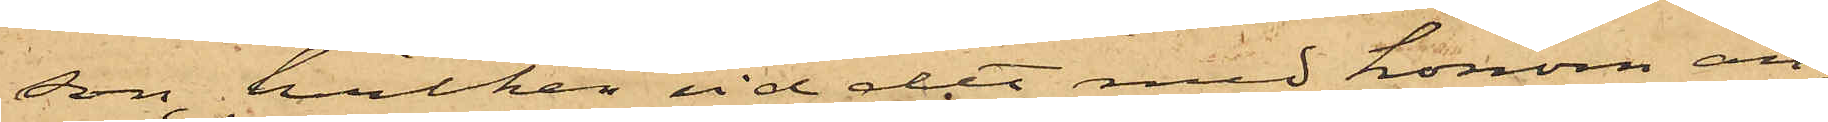son, hvilken vid det med honom an¬
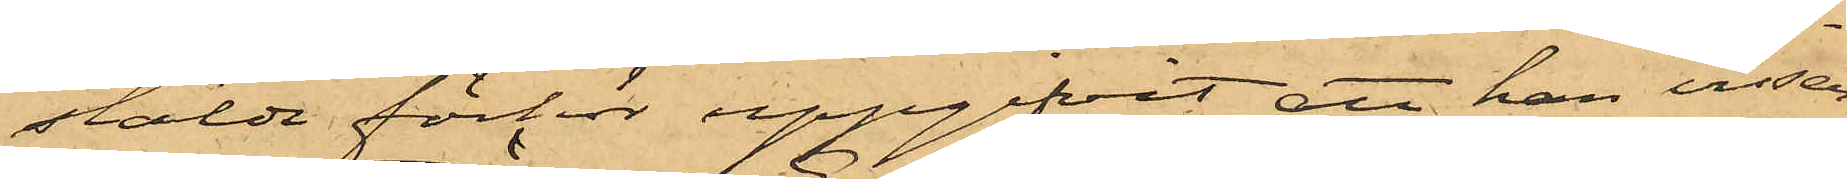stälde förhör uppgifvit, att han visser¬
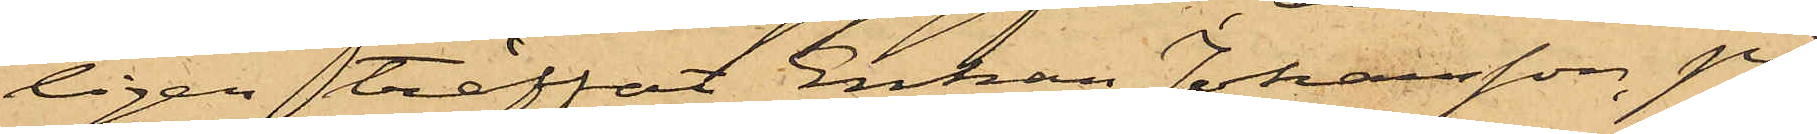ligen träffat Enkan Johansson, på
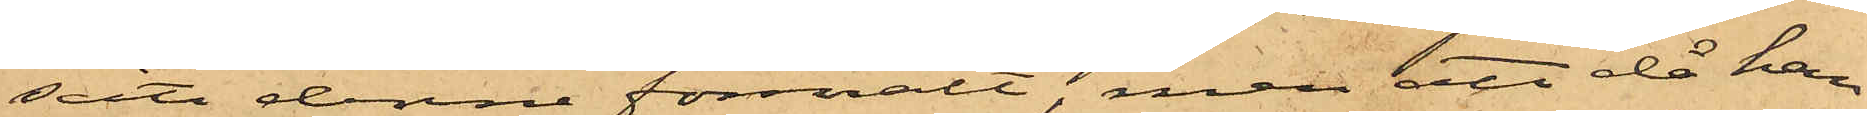sätt denne förmält, men att då han
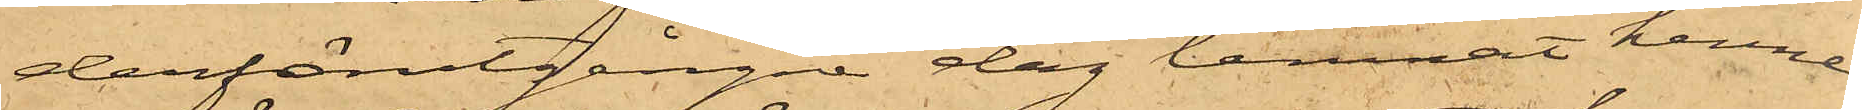derförutgångne dag lemnat henne
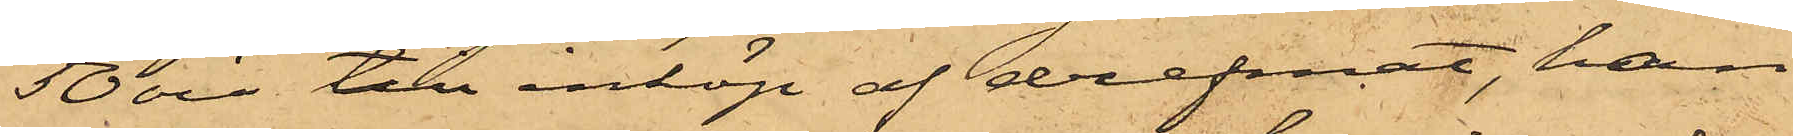50 öre till inköp af drefmat, han
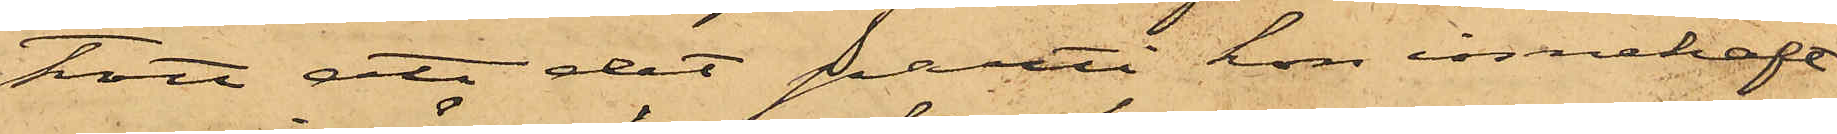trott, att det parti hon innehaft
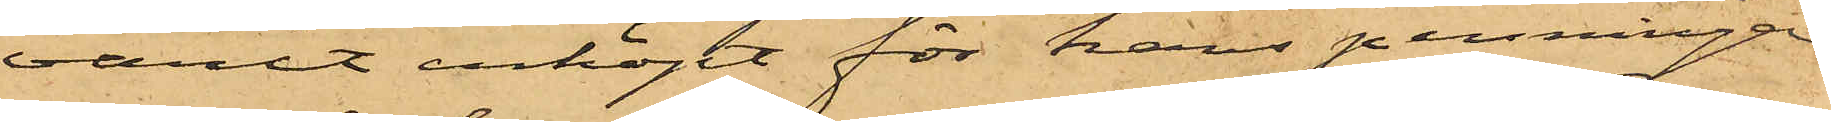varit inköpt för hans penningar
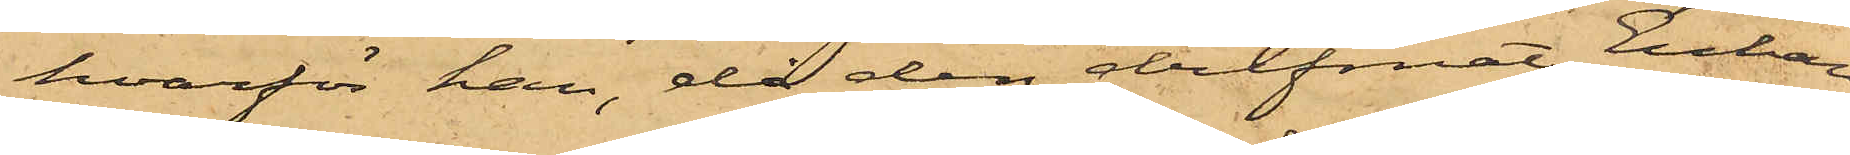hvarför han, då den drefmat Enkan
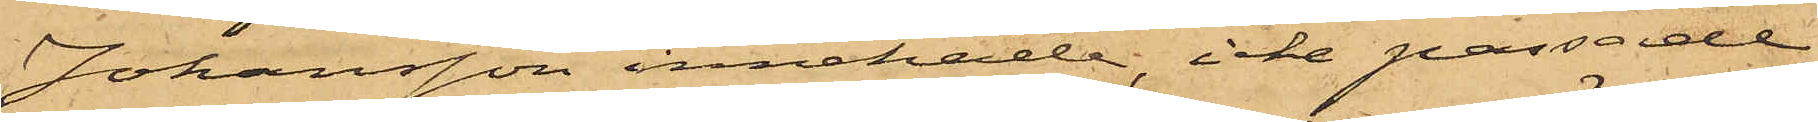Johansson innehade, icke passade
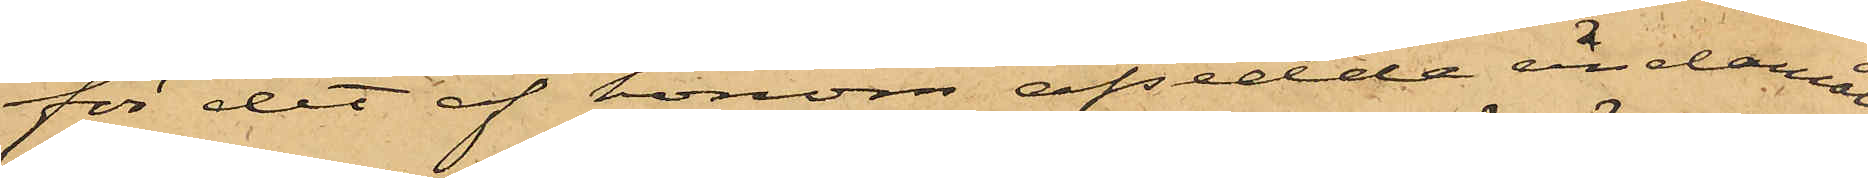för det af honom afsedde ändamål
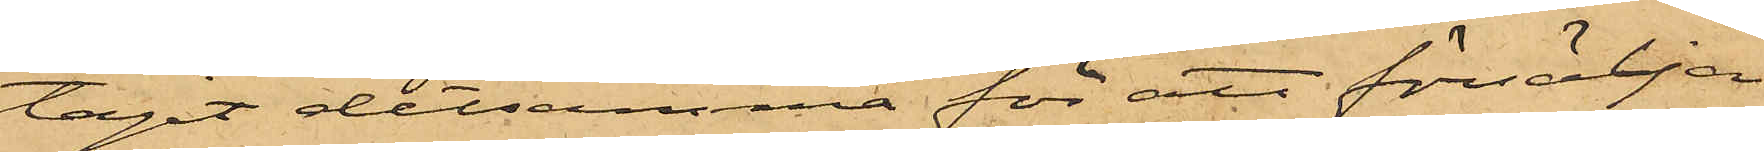tagit detsamma för att försälja
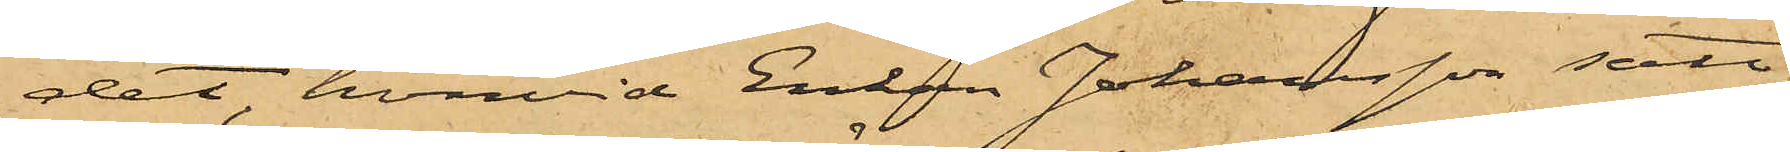det, hvarvid Enkan Johansson satt
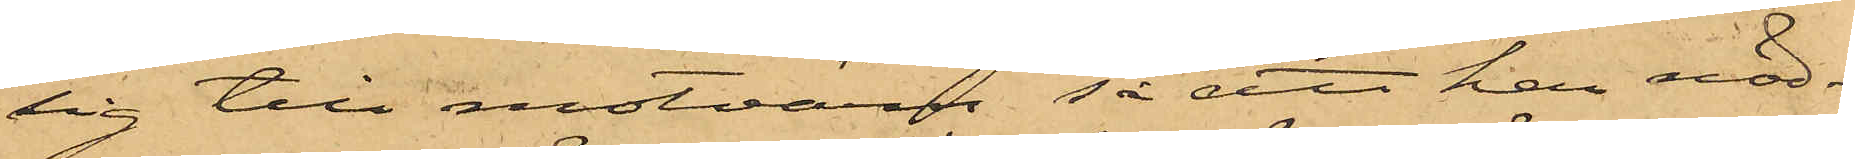sig till motvärn så att han nöd¬
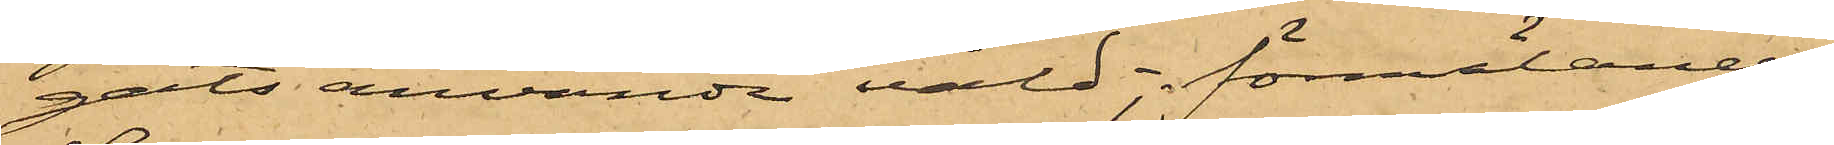gats använda våld; förmälande
